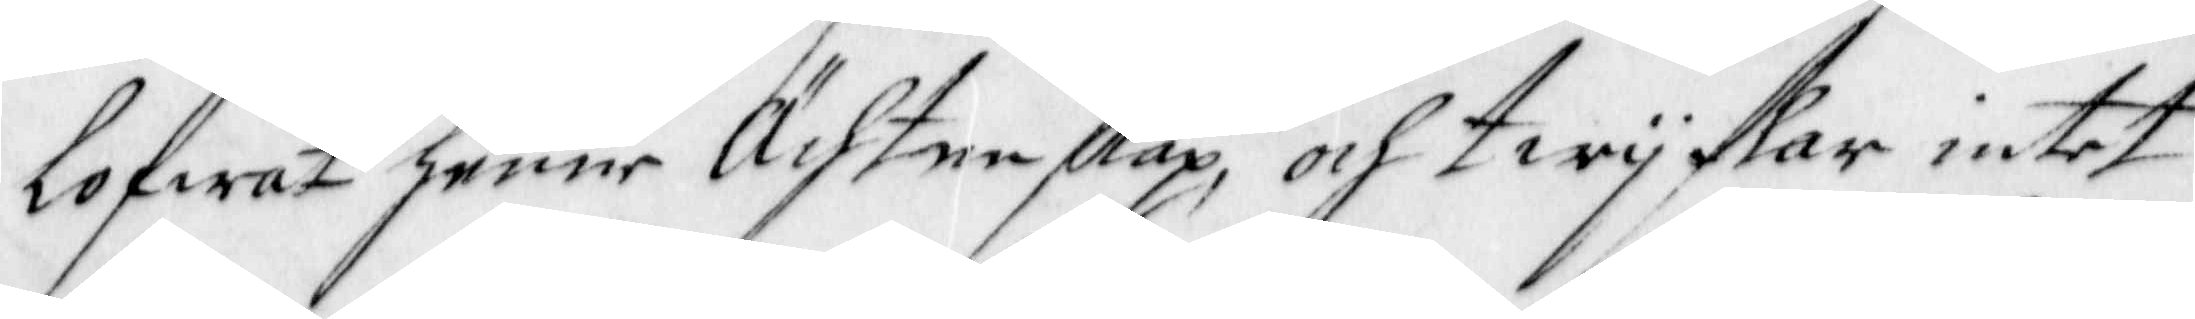lofwat henne Ächtenskap, och twijkar intet
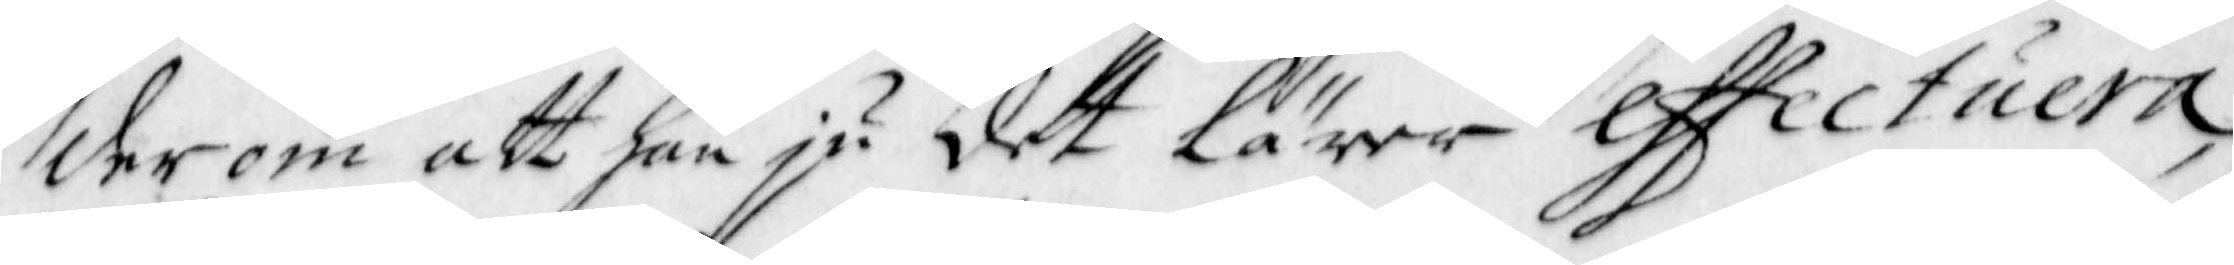derom att han ju det Lärer effectuera,
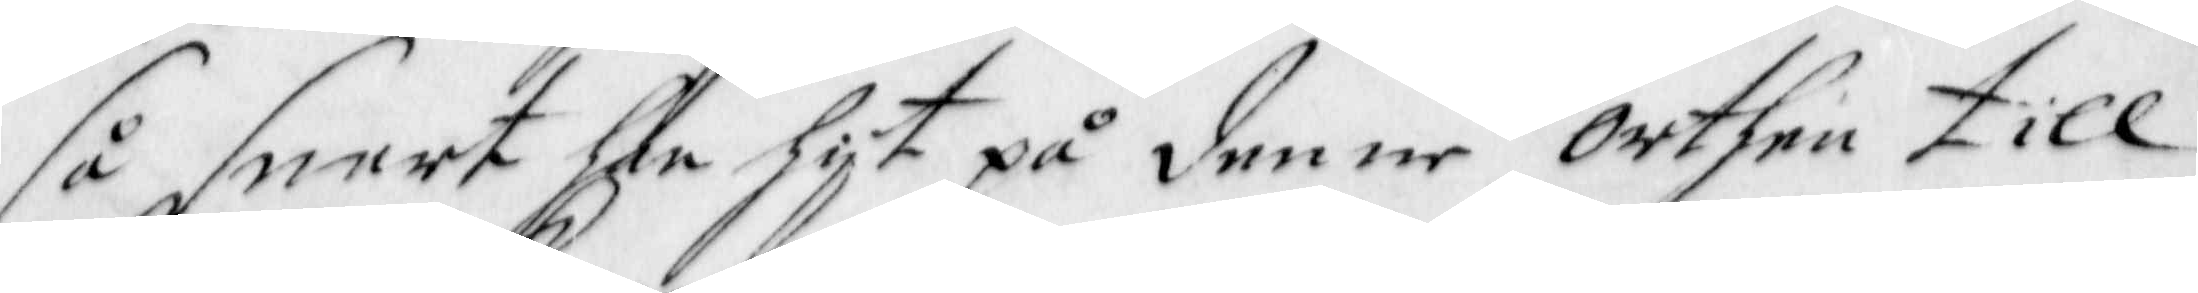så snart han hijt på denne Orthen till¬
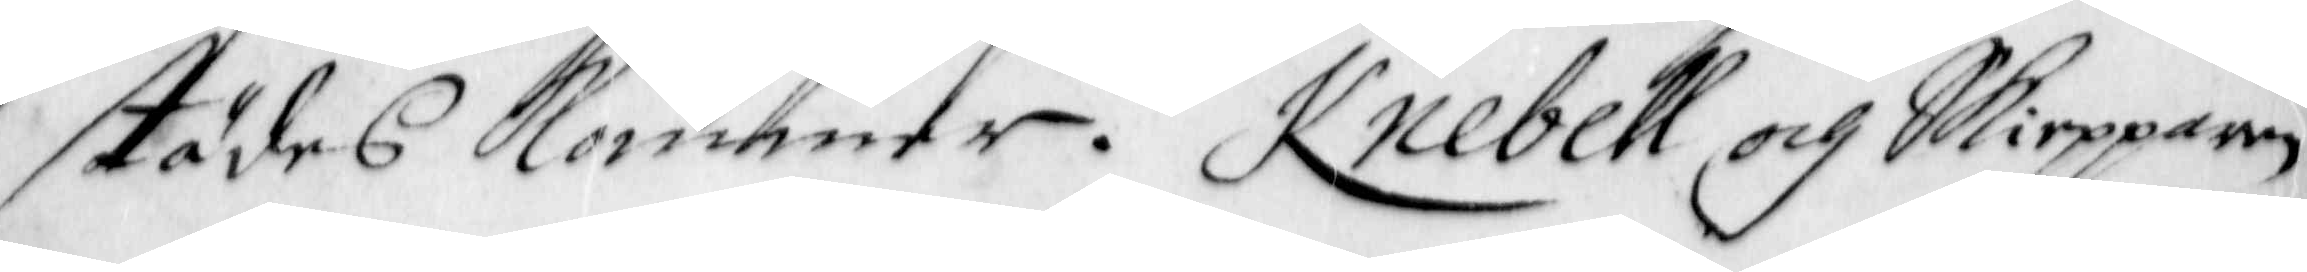städes Kommer. Knebell och Skiepparen
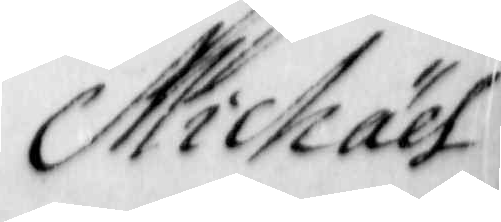Michaël
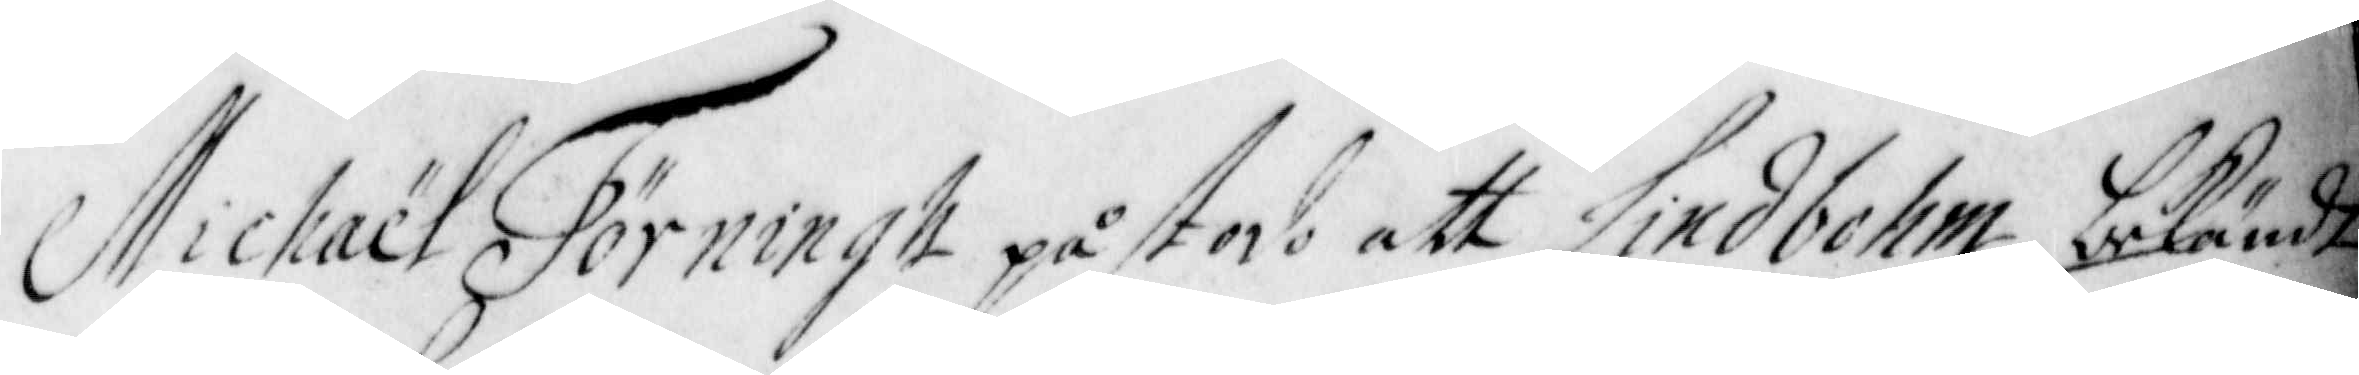Michaël Törningh påstod att Lindbohm bekändt
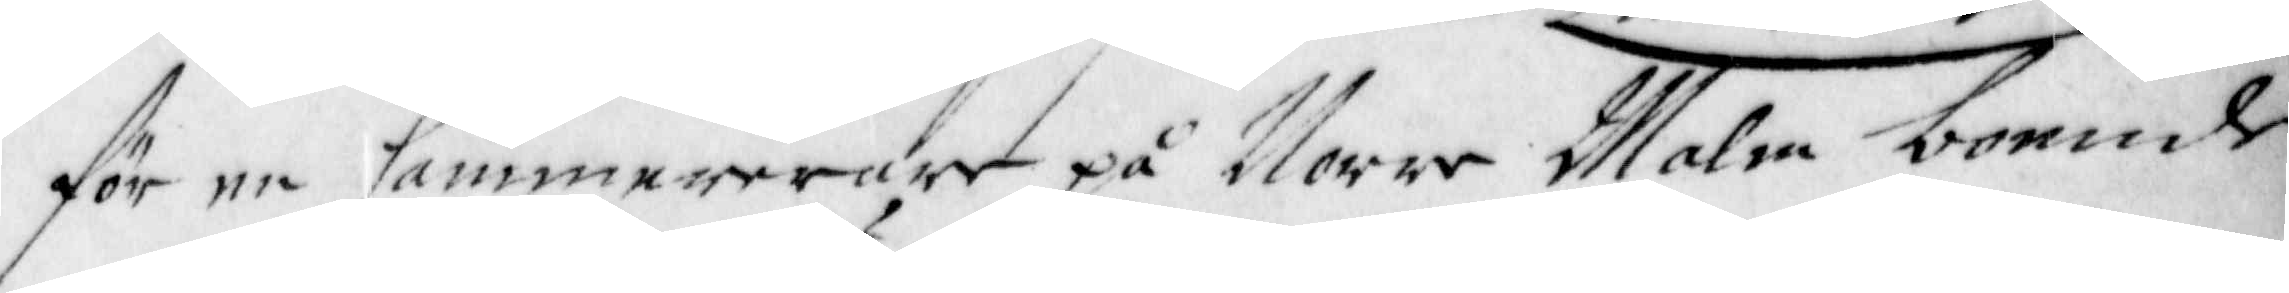för en Cammererare på Norre Malm boende
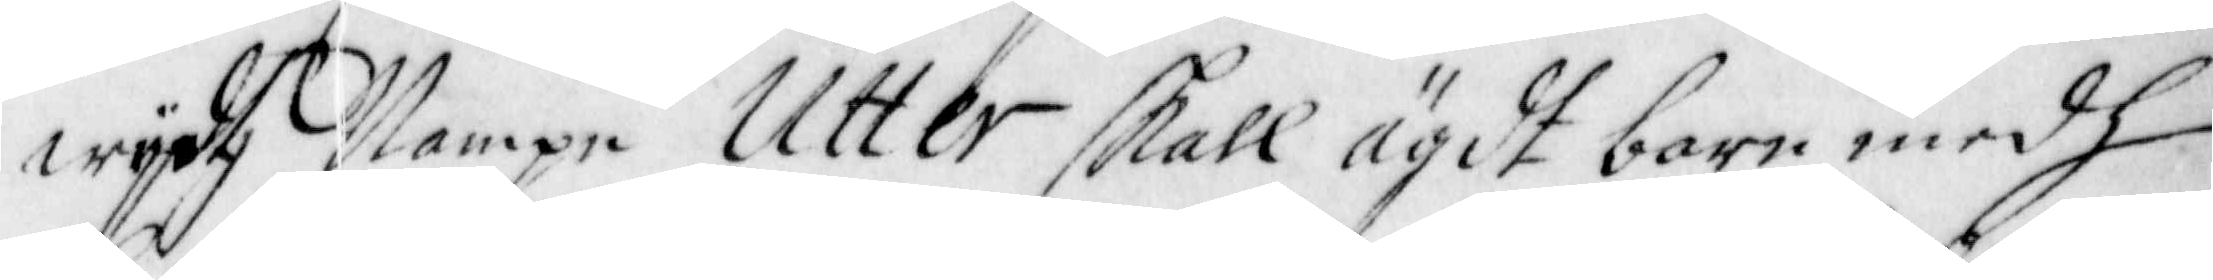wijdh Nampn Utter skall ägdt barn medh
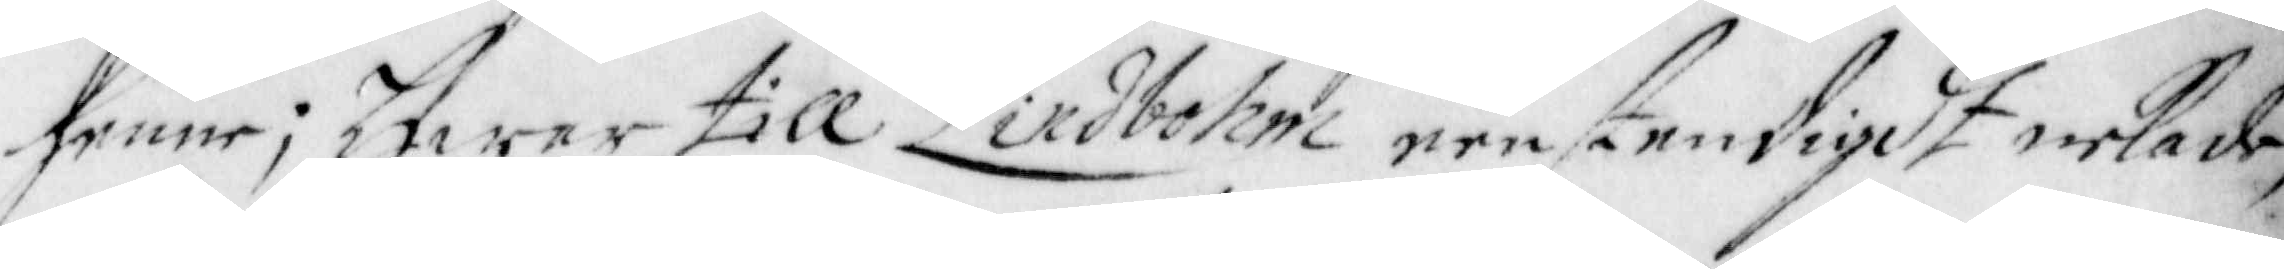henne; Hwar till Lindbohm eenstendigdt nekade,
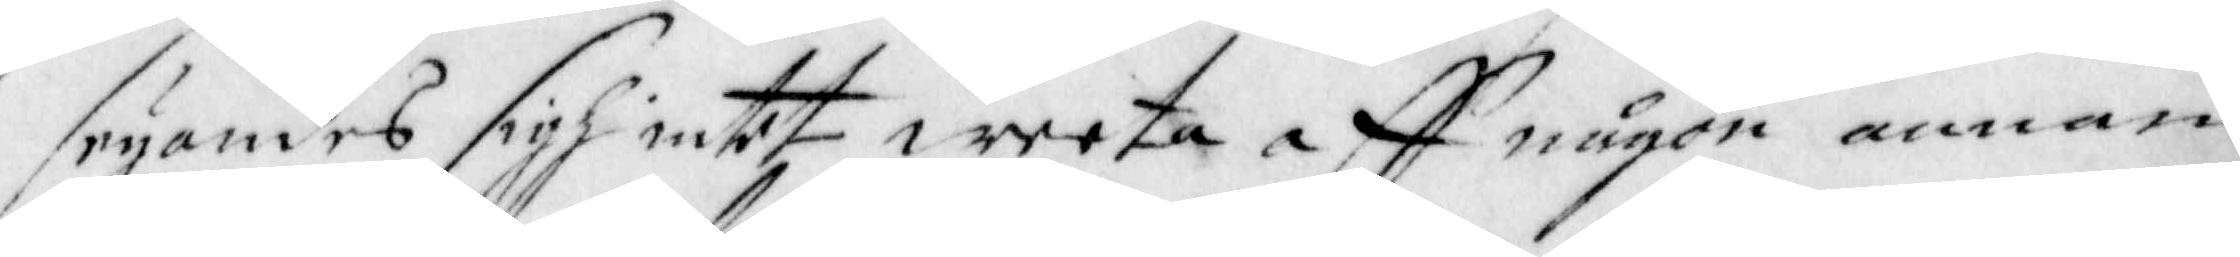seyandes sigh intet weeta aff någon annan
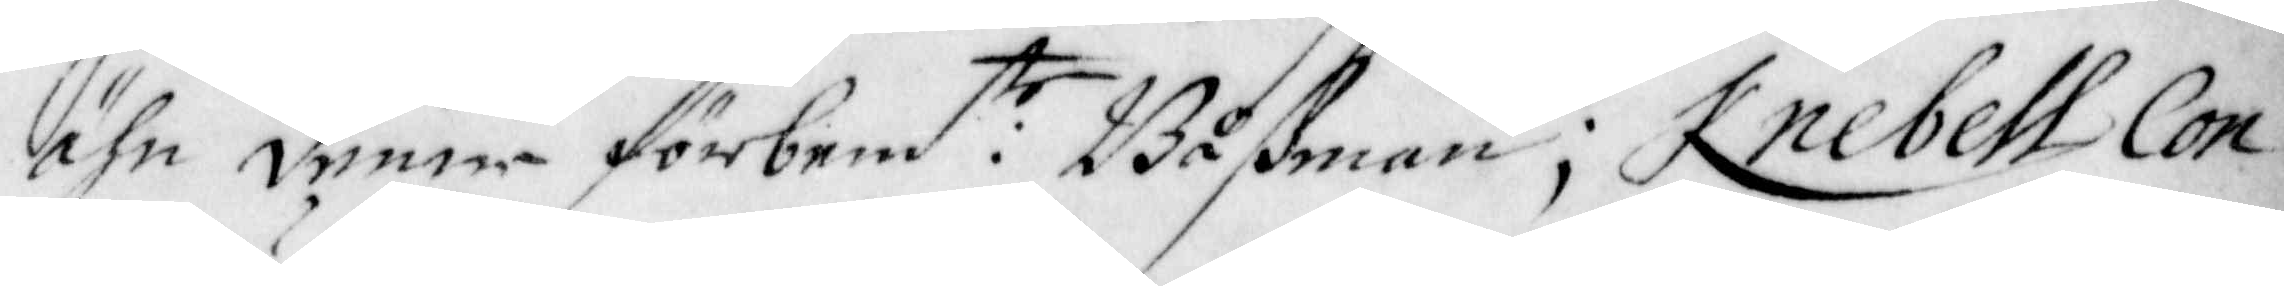ähn denne förbem:te Båßman; Knebell Con¬
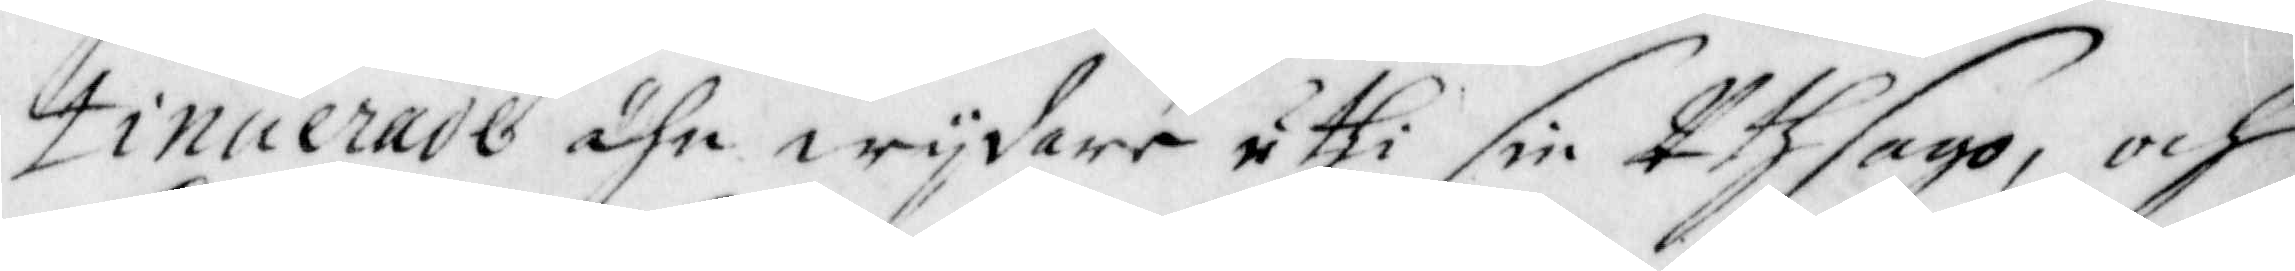tinuerade ähn wijdare uthi sin Uthsago, och
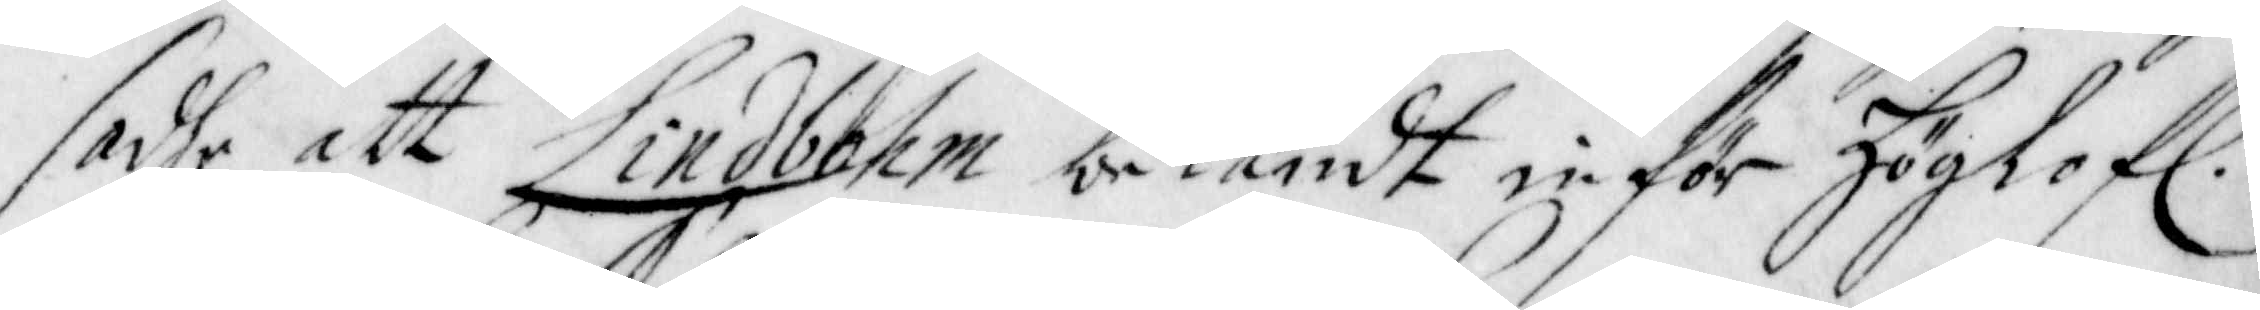sadhe att Lindbohm bekändt inför Höglof.
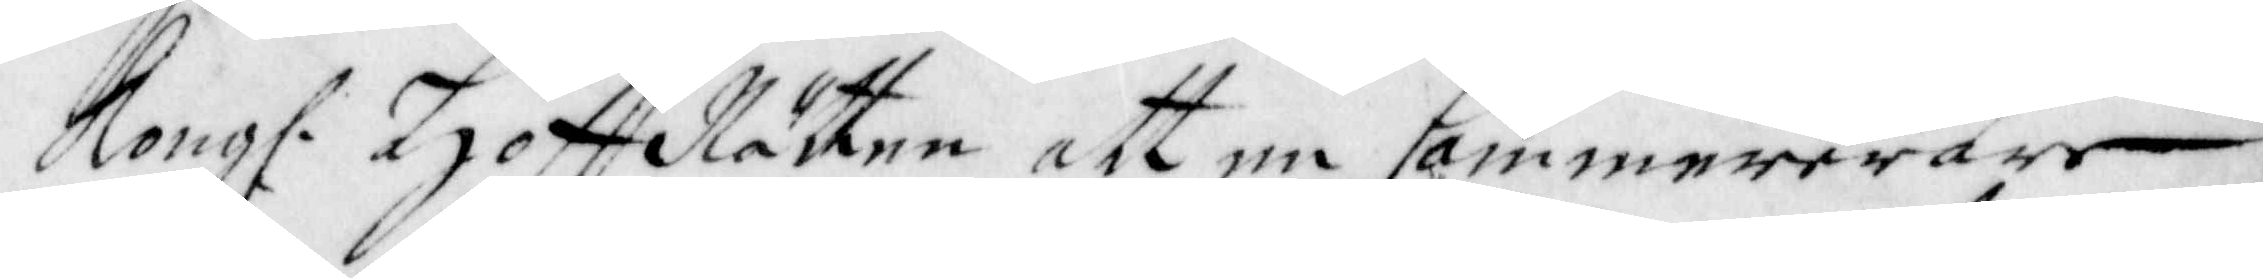Kong. Hoff Rätten att en Cammererare
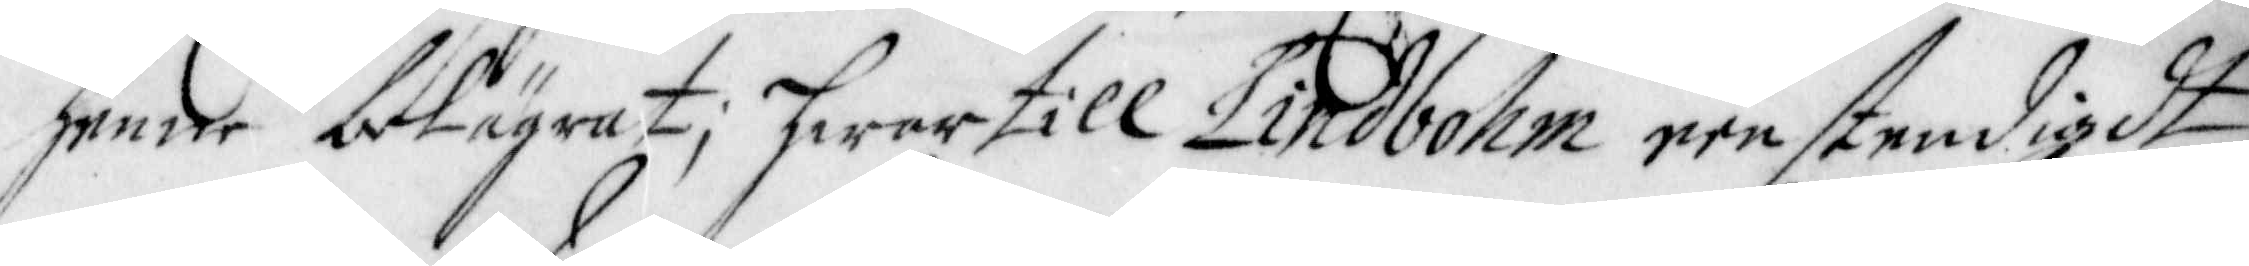henne belägrat; hwartill Lindbohm eenstendigdt
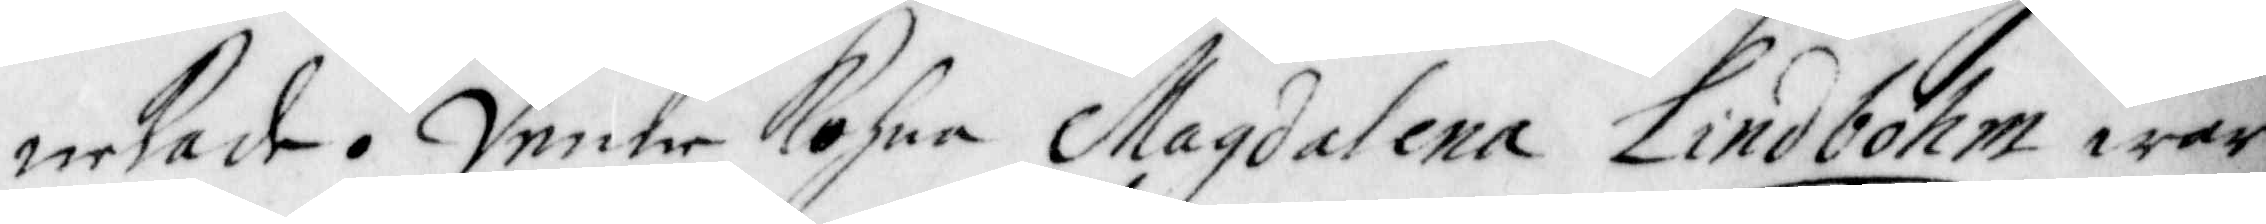nekade. Denne Kohna Magdalena Lindbohm war
